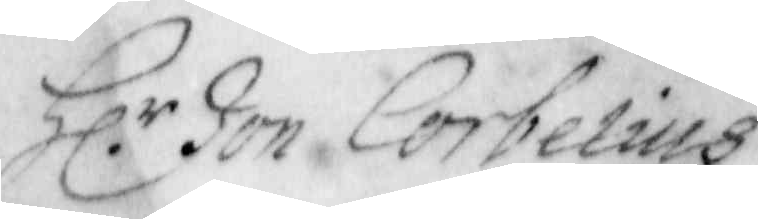Hl.r Jon Corbelius
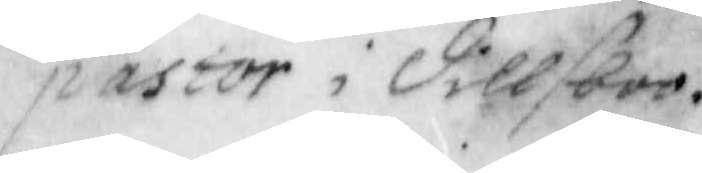pastor i Dillsboo.
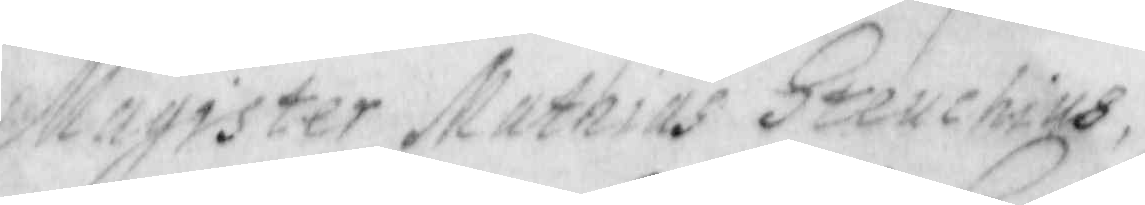Magister Mathias Steuchius,
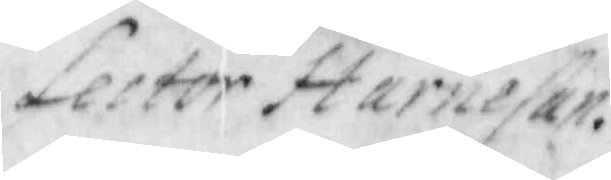Lector Harnefan.
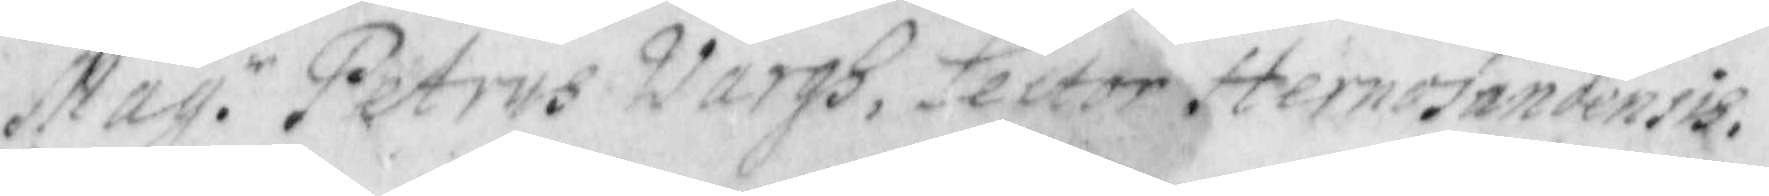Mag. r Petrus Wargh, lector Hernosandensis.
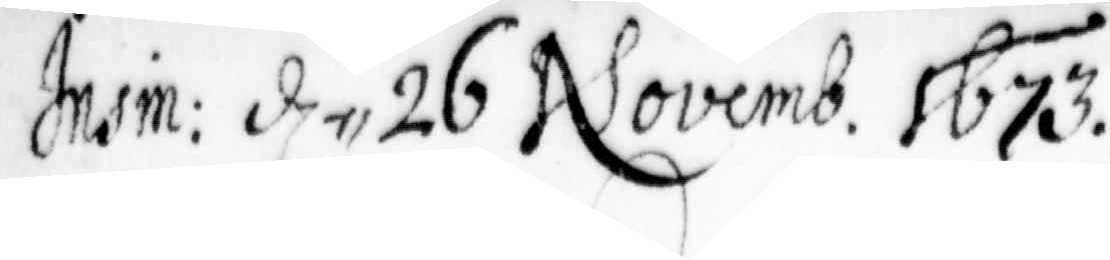Insin: d. ,, 26 Novemb. 1673.
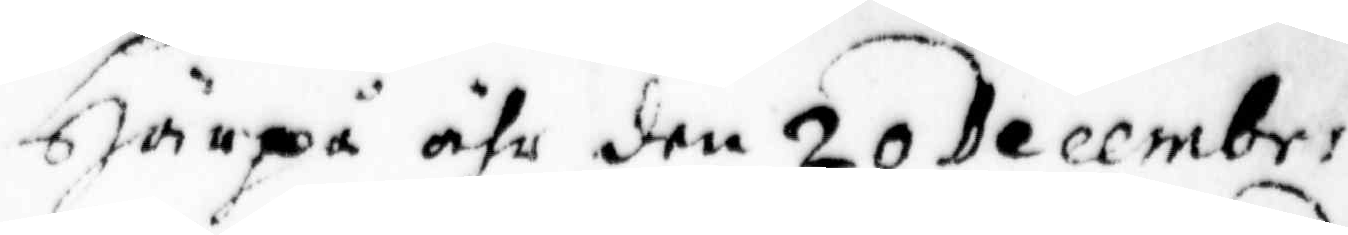Härpå ähr den 20 Decembr:
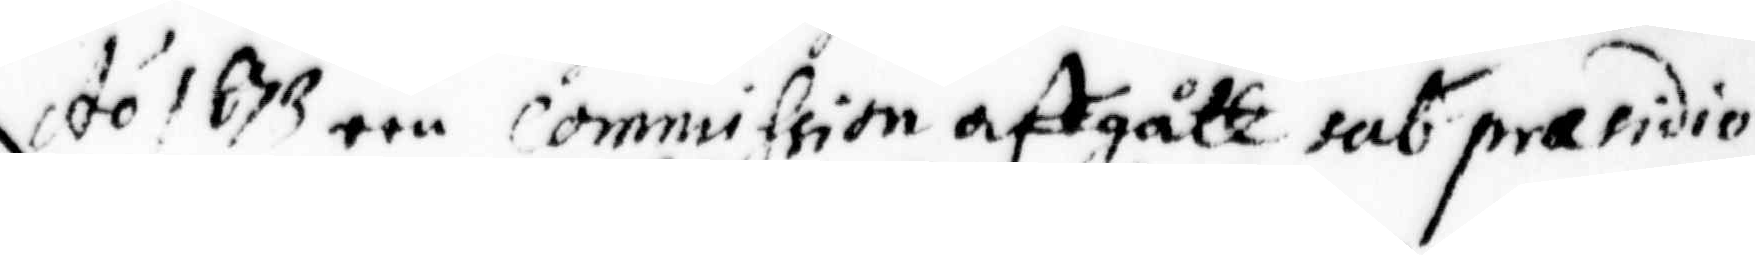A.o 1673 een Commission affgått sub praesidio
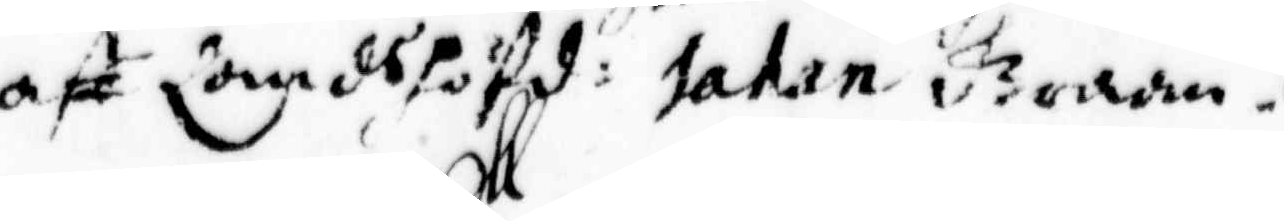aff Landshöfd: Johan Graan.
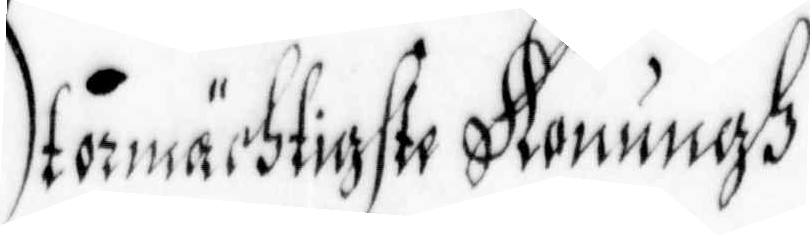Stormächtigste Konungh
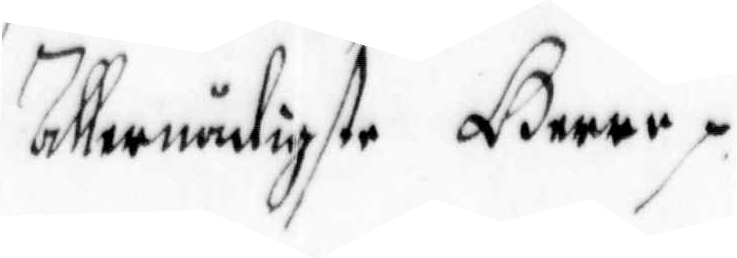allernådigste Herre.
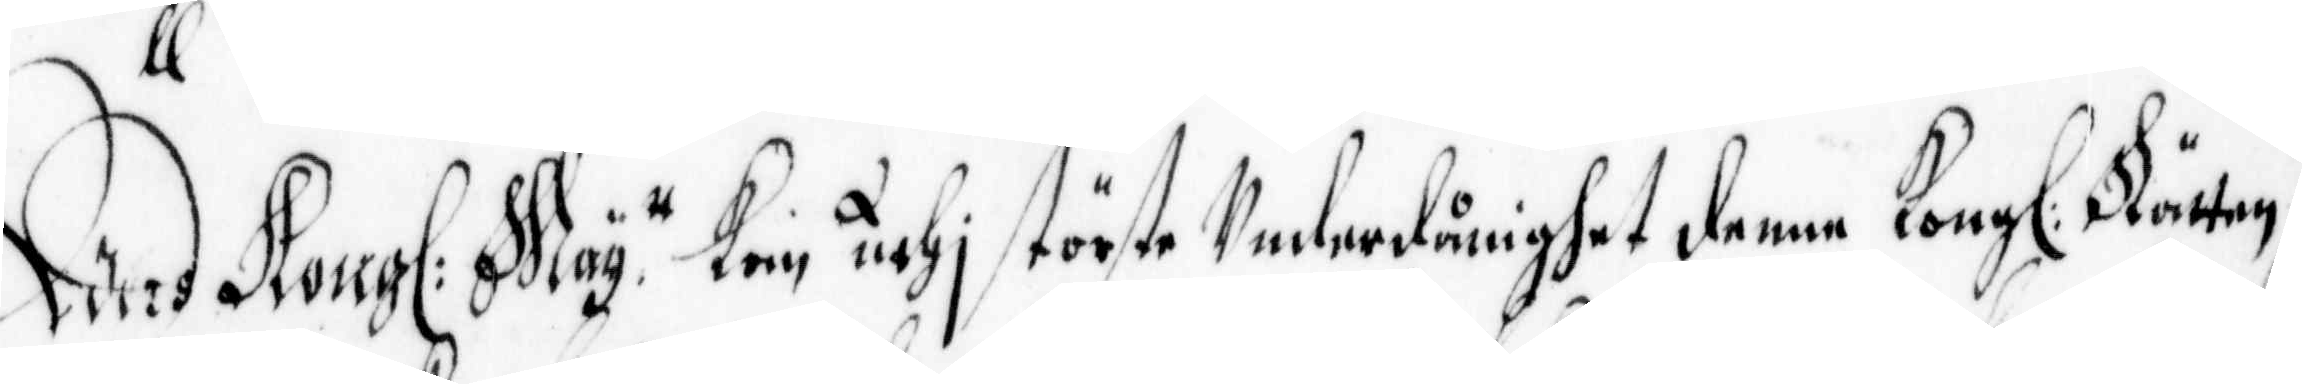Eders Kong: May:tt kan uthj störste Underdånighet denna Kong: Rätten
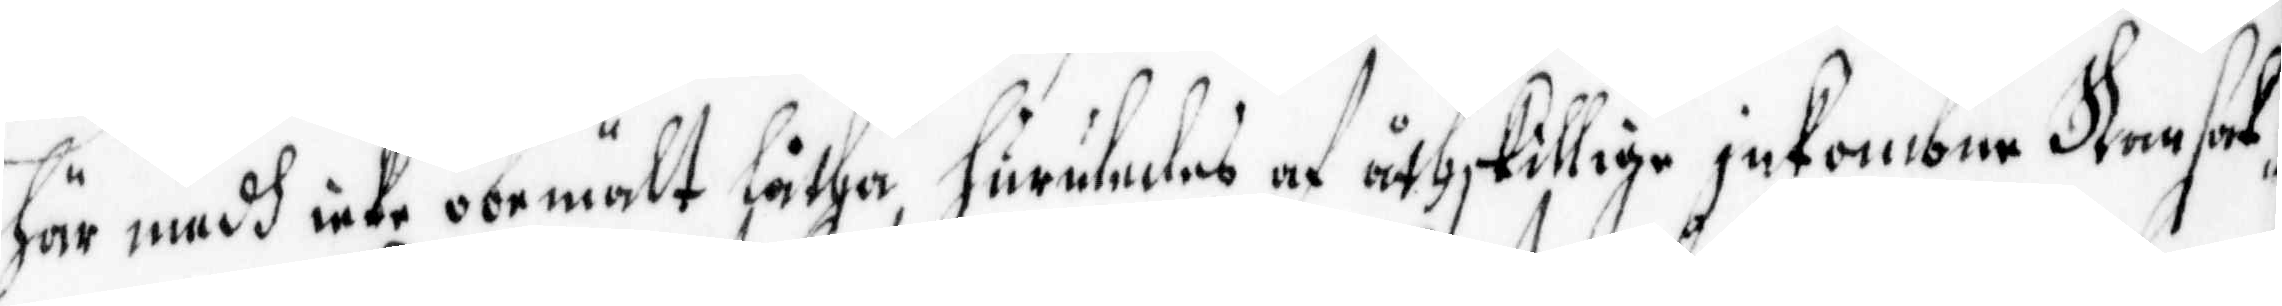här med icke obemält låtha, huruledes af åthskillige inkombne Ransak¬
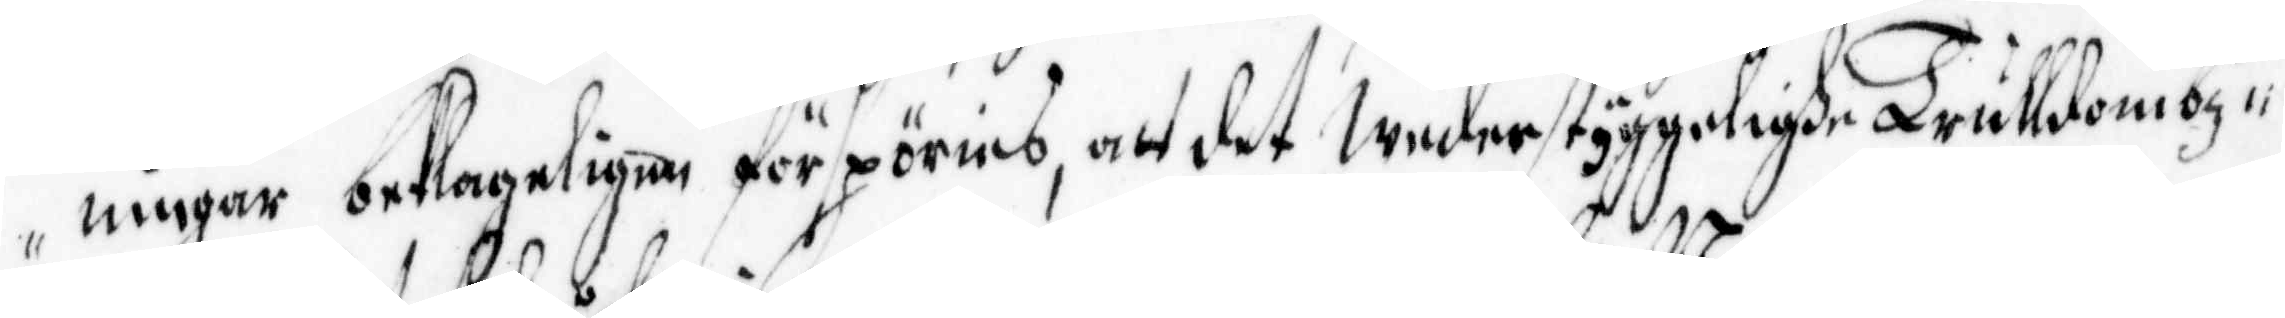ningar beklageligen förspöries, alt det Wederstyggelighe Trulldombz¬
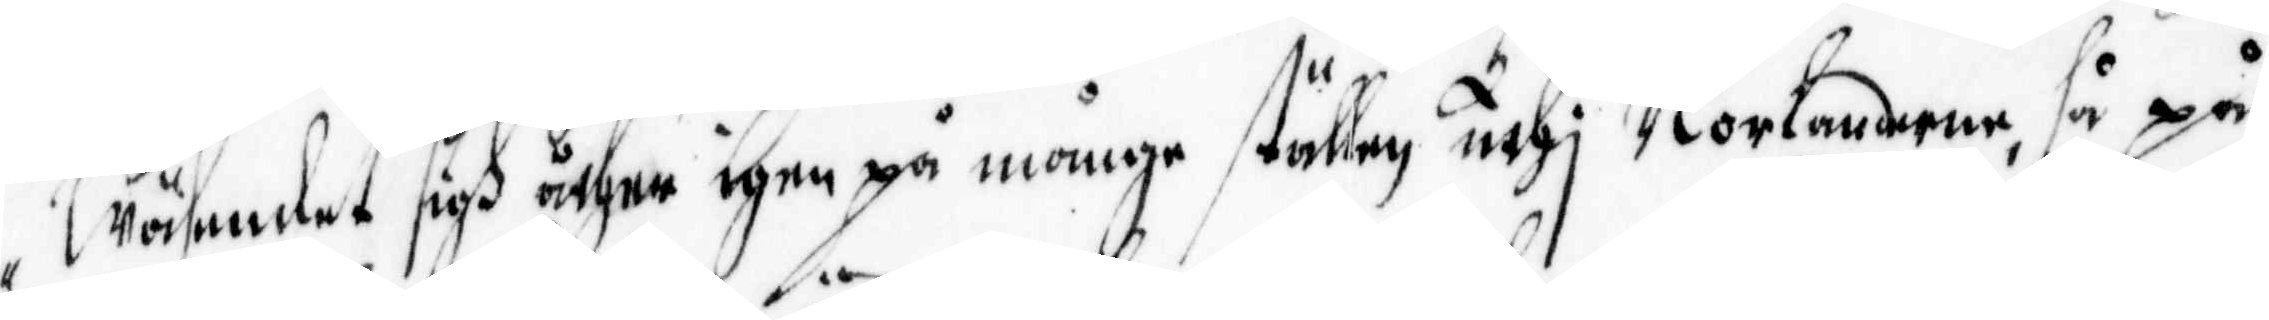Wäsendet sigh åther igen på månge ställen uthj Norlanderne, så på
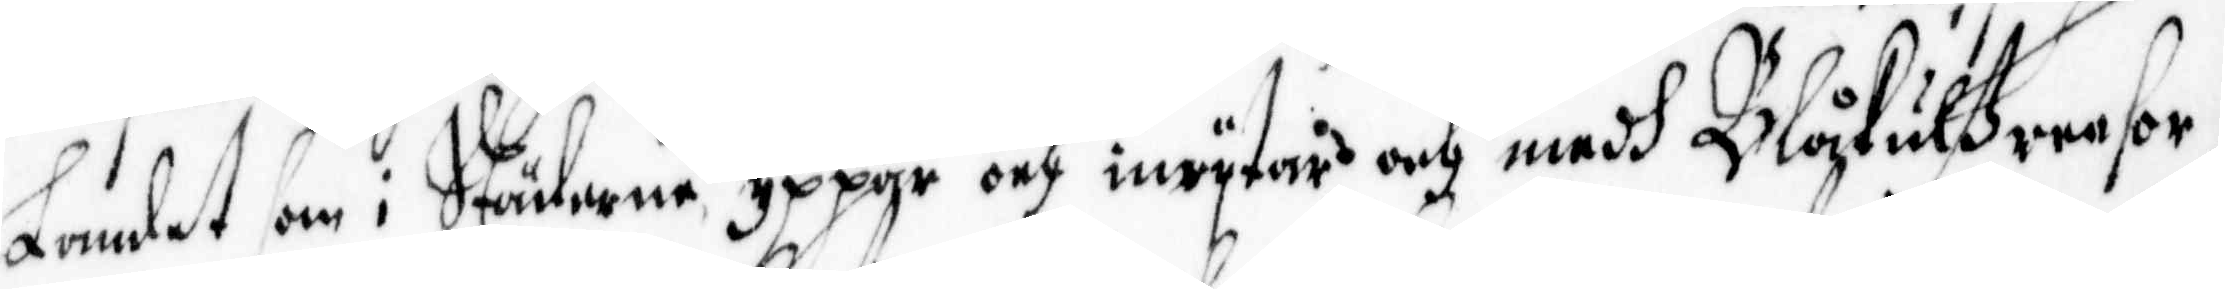Landet som i Städerne yppar och inrijtar och medh Blåkulßreesor,
